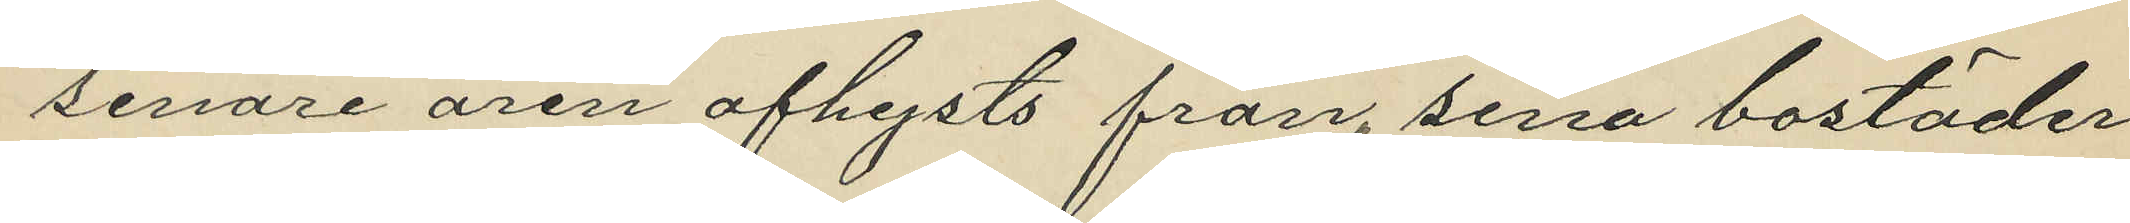senare åren afhysts från sina bostäder,
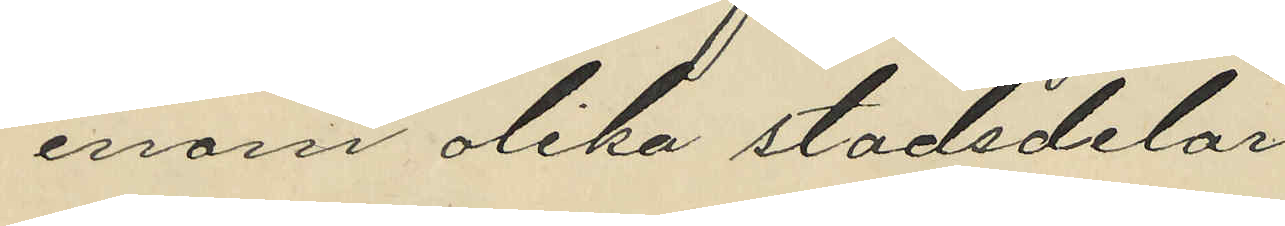inom olika stadsdelar
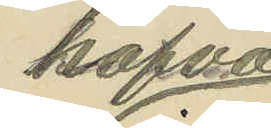hafva
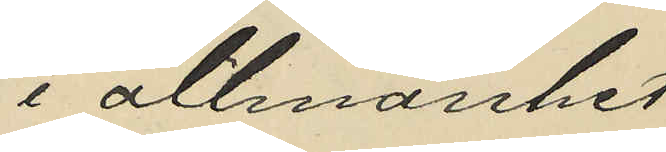i allmänhet
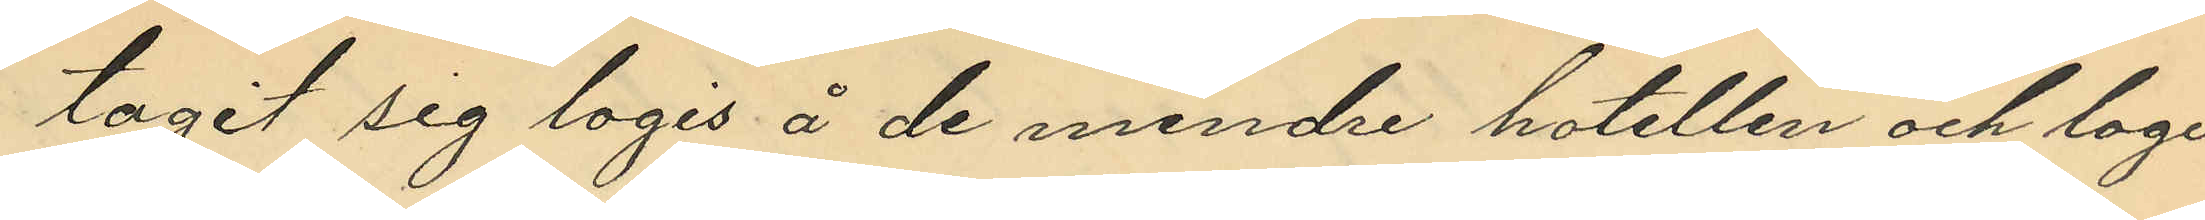tagit sig logis å de mindre hotellen och logis¬
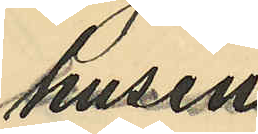husen
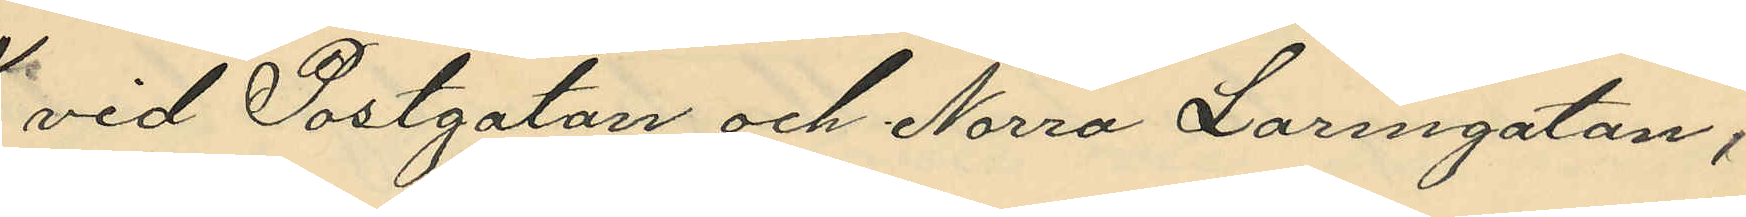vid Postgatan och Norra Larmgatan,
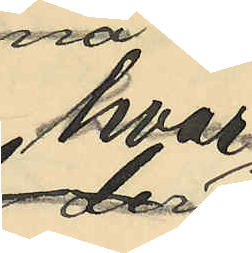hvar
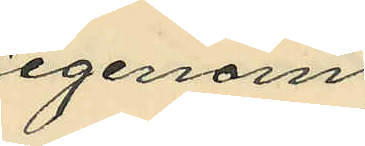igenom
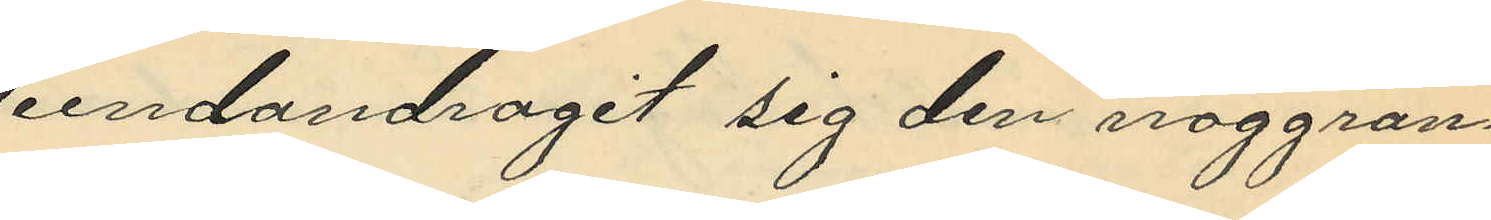undandragit sig den noggran¬
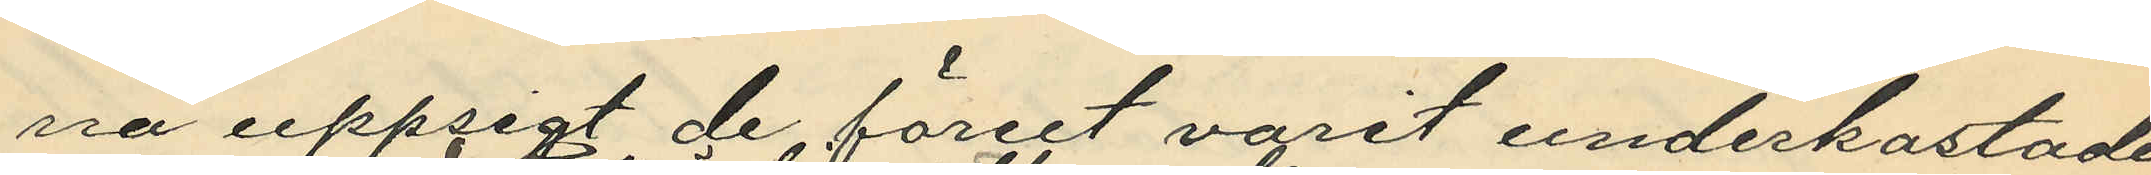na uppsigt de förut varit underkastade
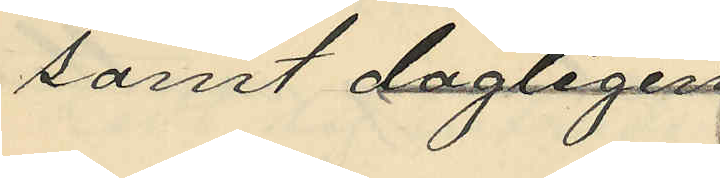samt dagligen
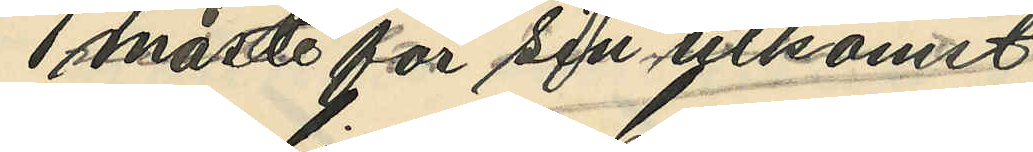måste för sin utkomst
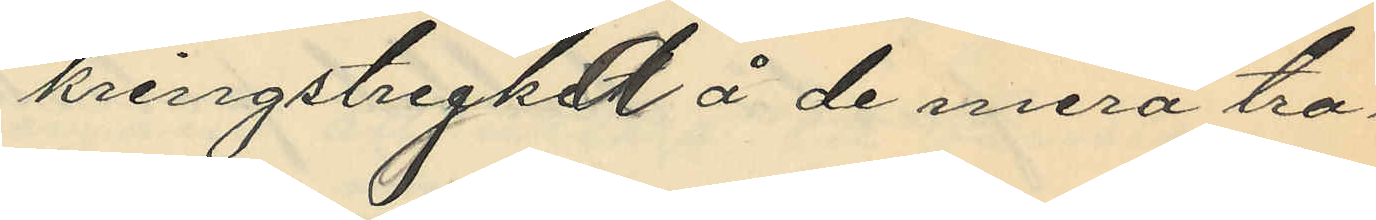kringstryka å de mera tra¬
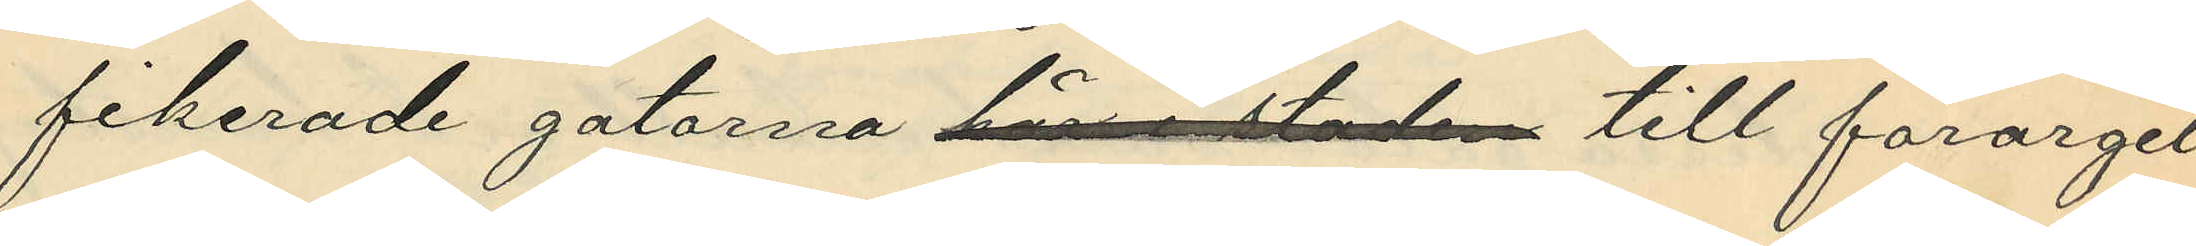fikerade gatorna här i staden till förargel¬
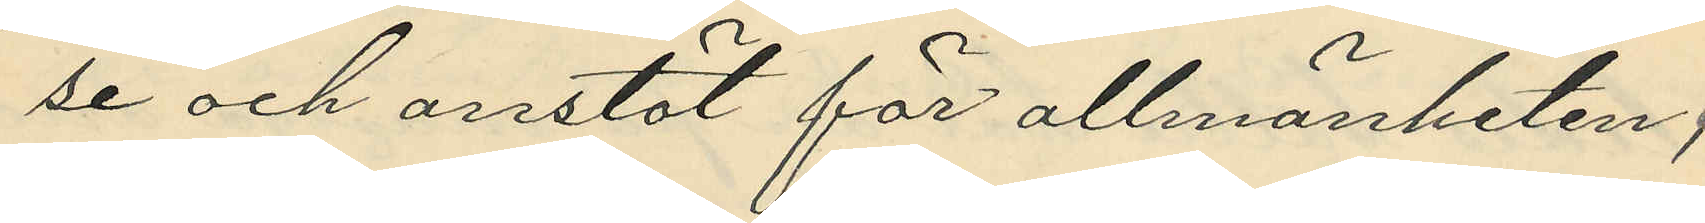se och anstöt för allmänheten,
